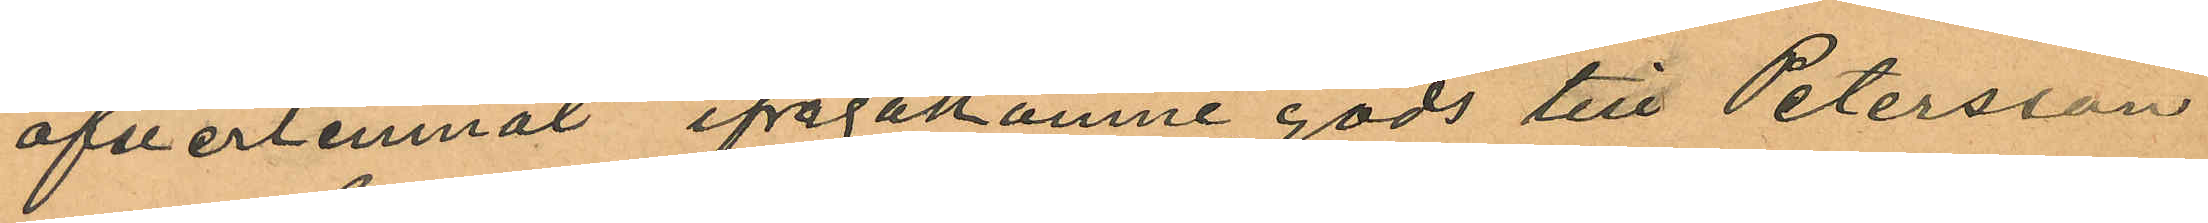öfverlemnat ifrågakomne gods till Petersson
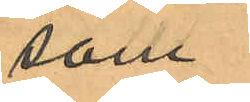som
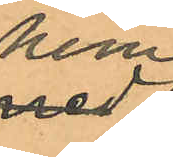hem¬
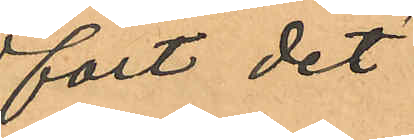fört det
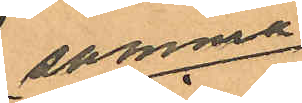samma
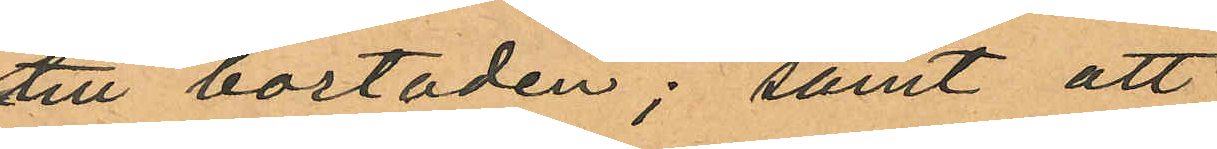till bostaden; samt att
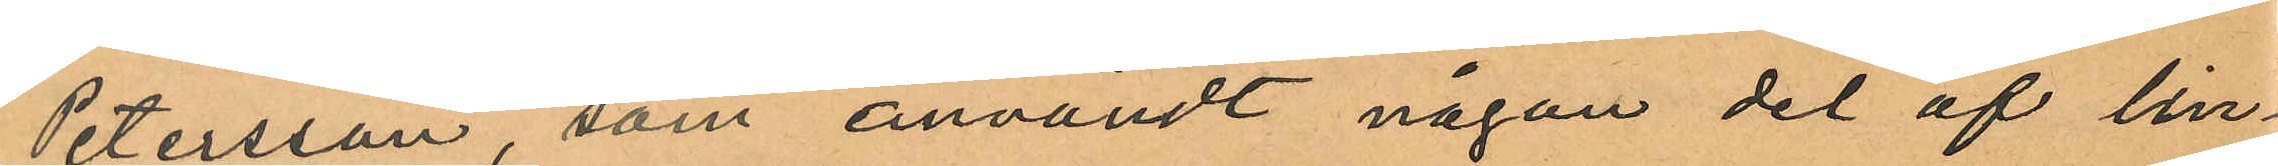Petersson, som användt någon del af lin¬
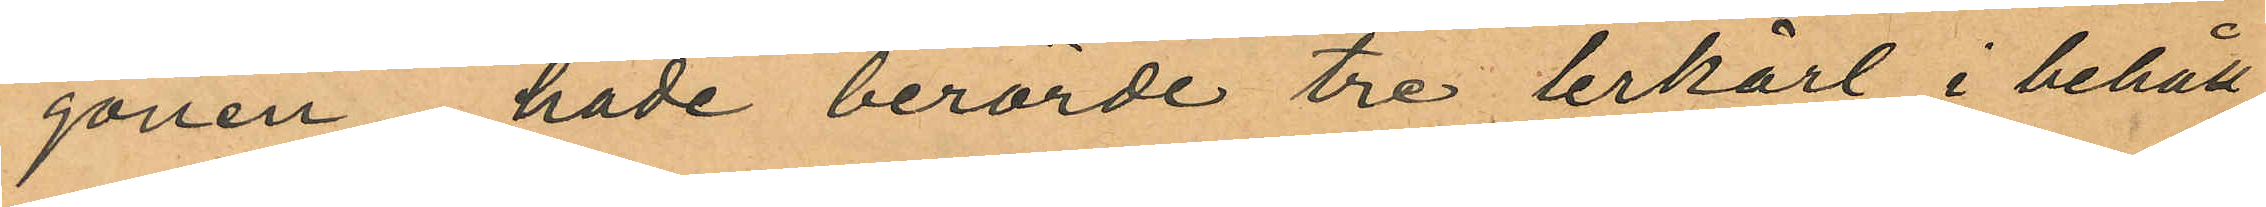gonen hade berörde tre lerkärl i behåll
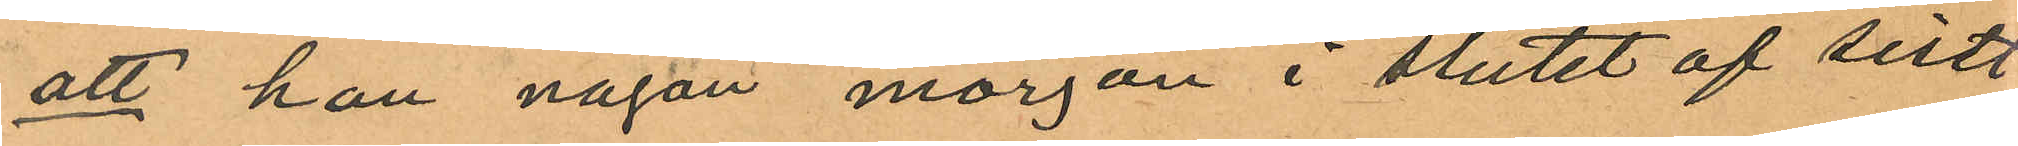att han någon morgon i slutet af sistl.
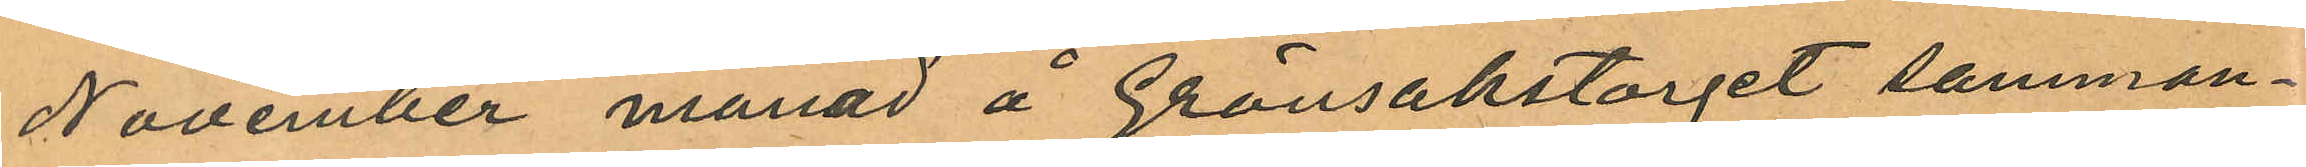November månad å Grönsakstorget samman¬
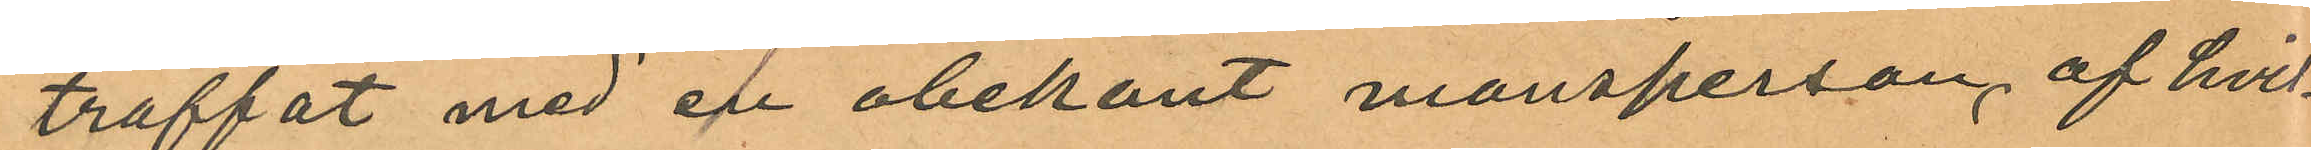träffat med en obekant mansperson, af hvil¬
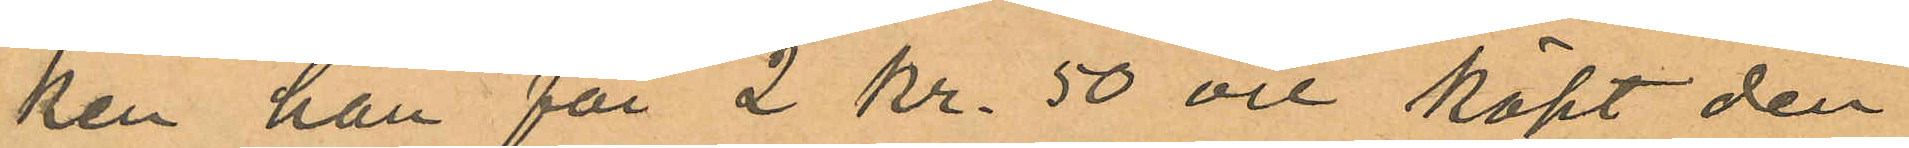ken han för 2 kr. 50 öre köpt den
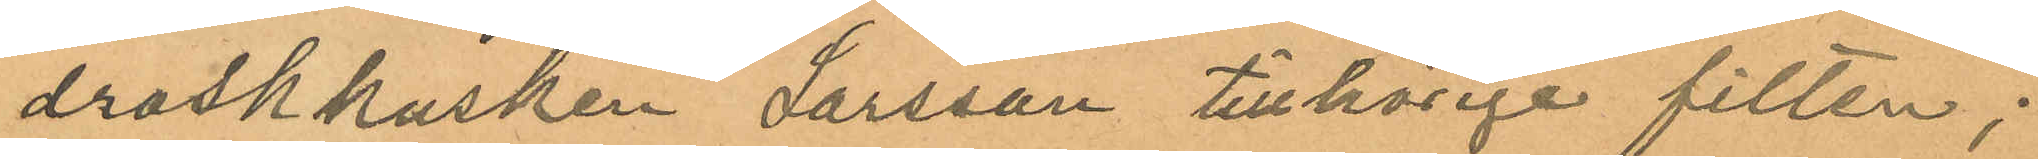droskkusken Larsson tillhörige filten;
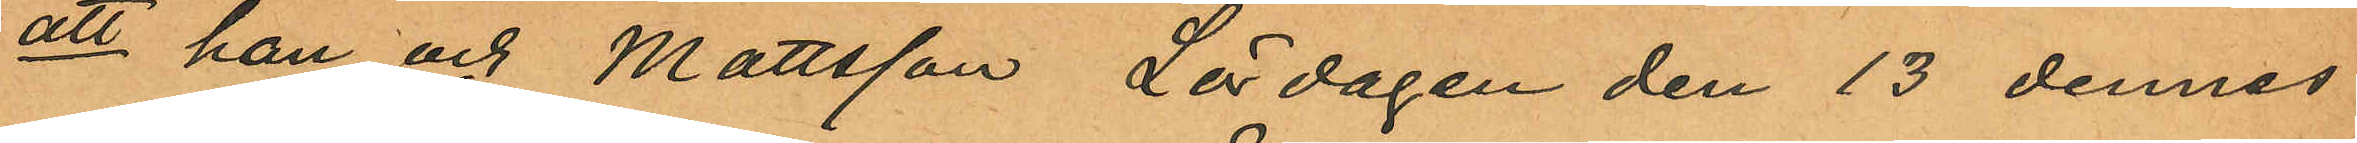att han och Mattsson Lördagen den 13 dennes
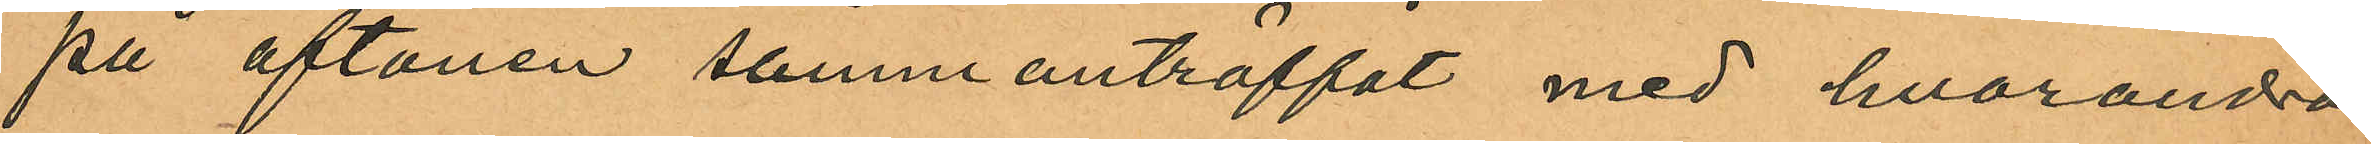på aftonen sammanträffat med hvarandra
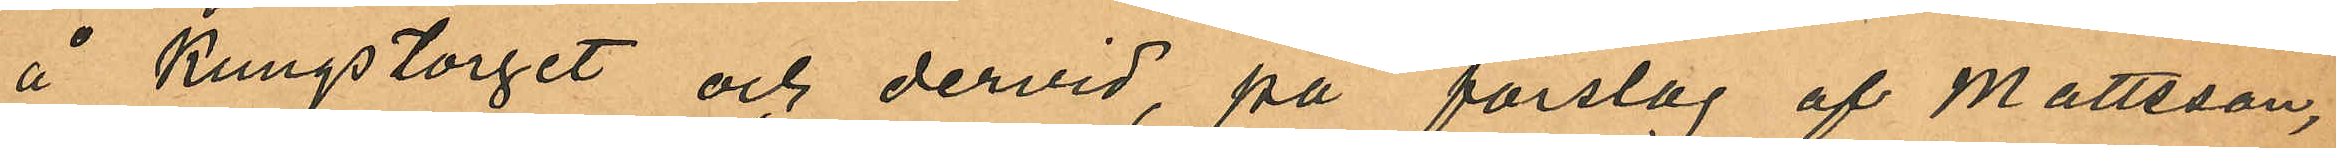å Kungstorget och dervid, på förslag af Mattsson,
